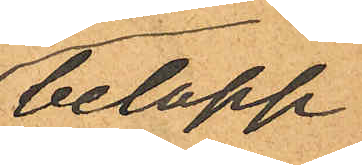belopp
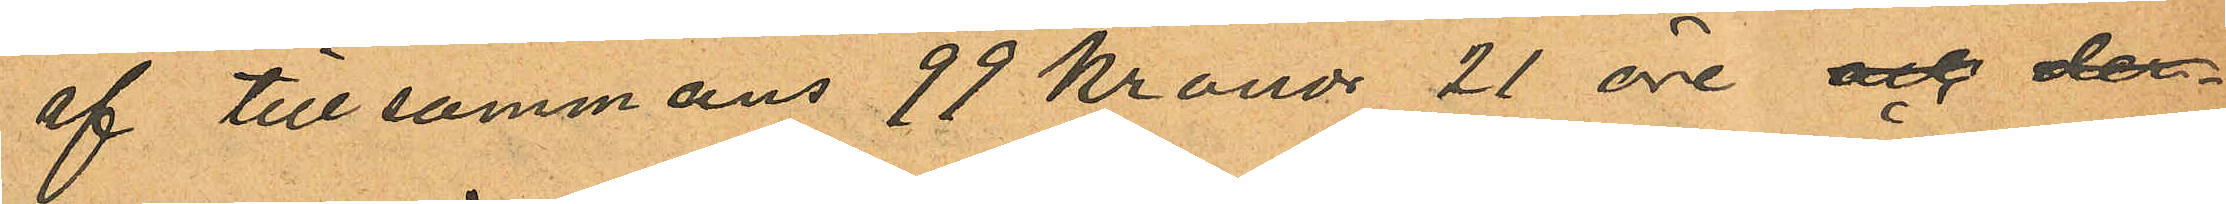af tillsammans 99 kronor 21 öre och der
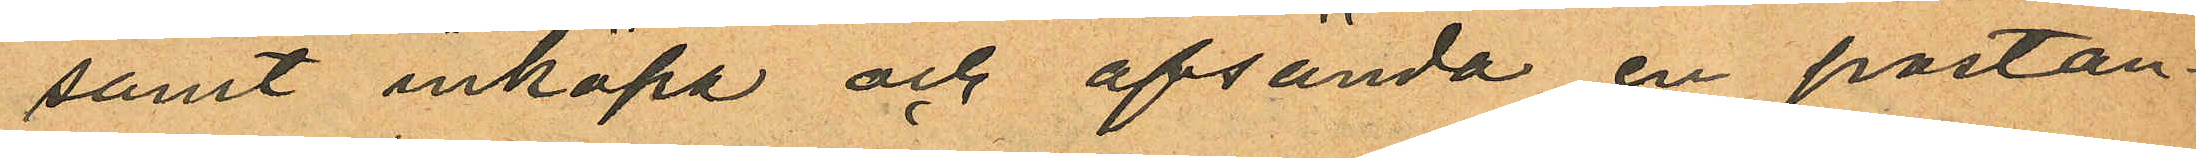samt inköpa och afsända en postan¬
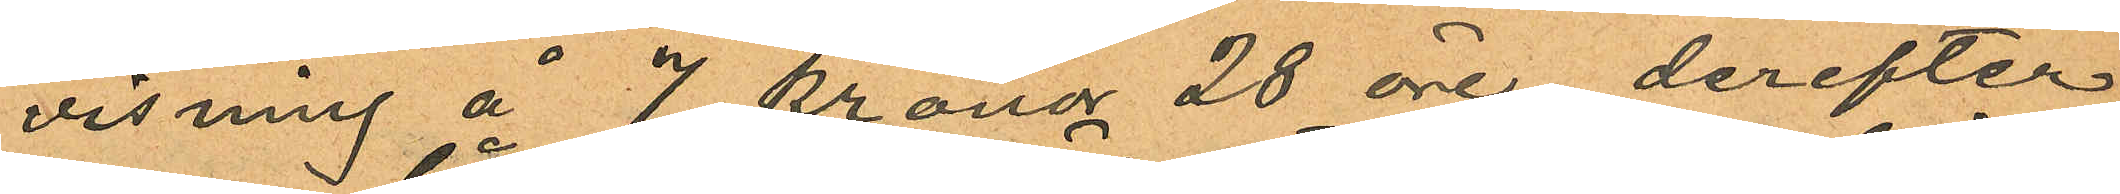visning å 7 kronor 28 öre derefter
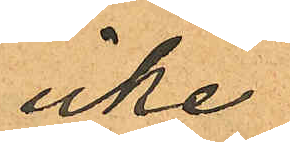icke
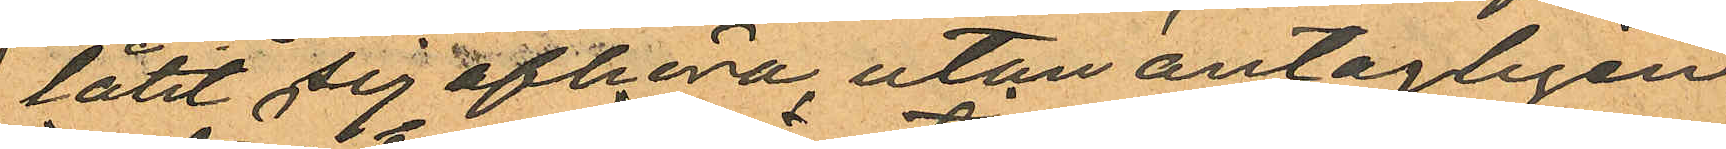låtit sig afhöra, utan antagligen
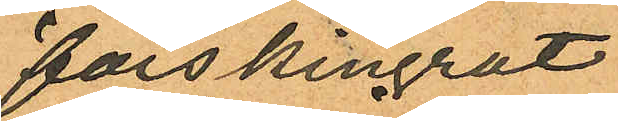förskingrat
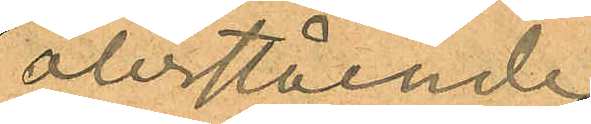återstående
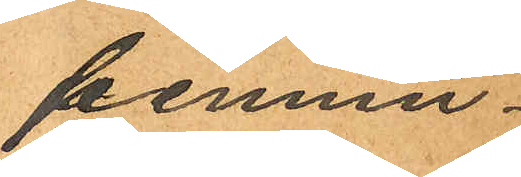pennin¬
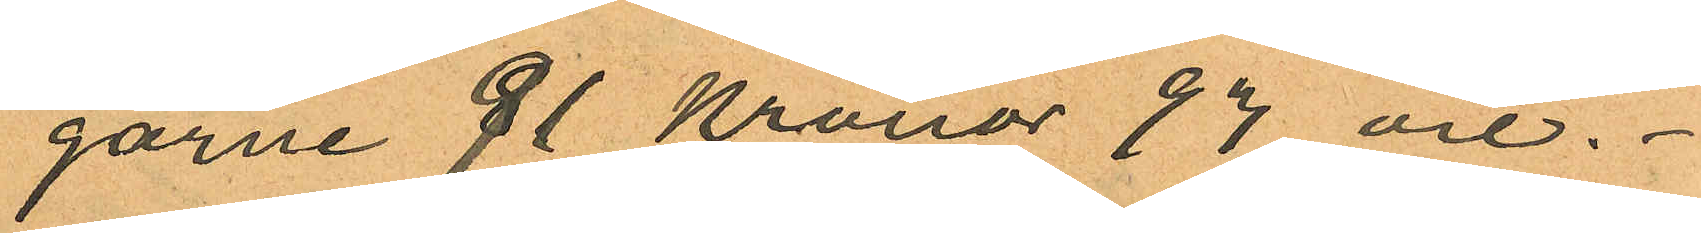garne 91 Kronor 93 öre.
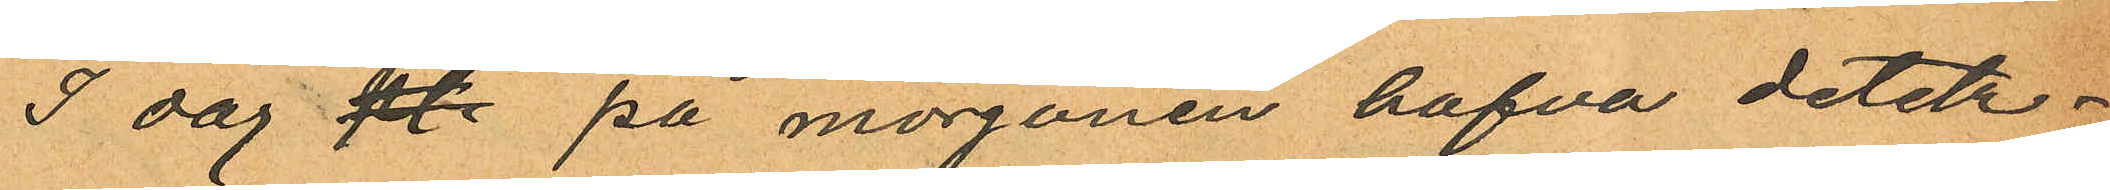I dag kl. på morgonen hafva detek¬
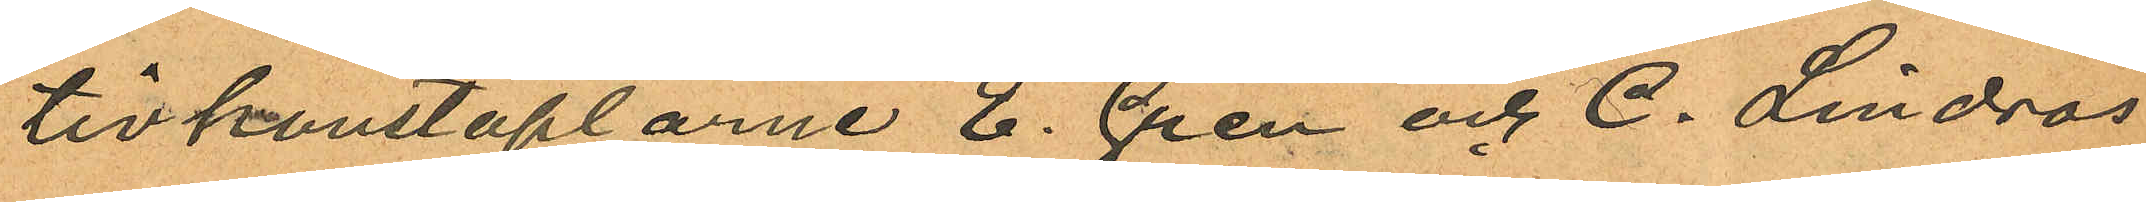tivkonstaplarne E. Gren och C. Lindros
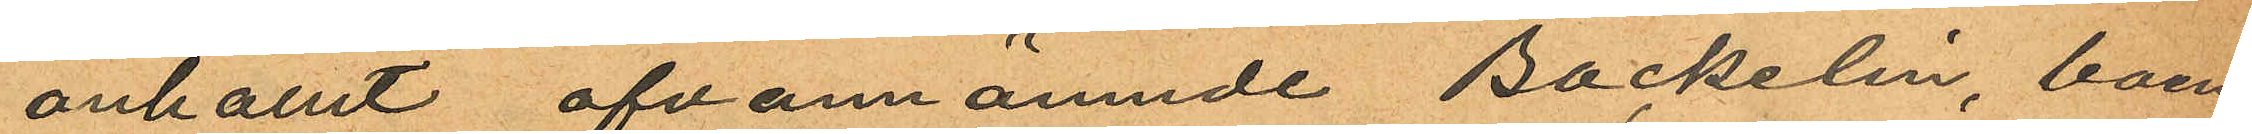anhållit ofvannämnde Backelin, boen¬
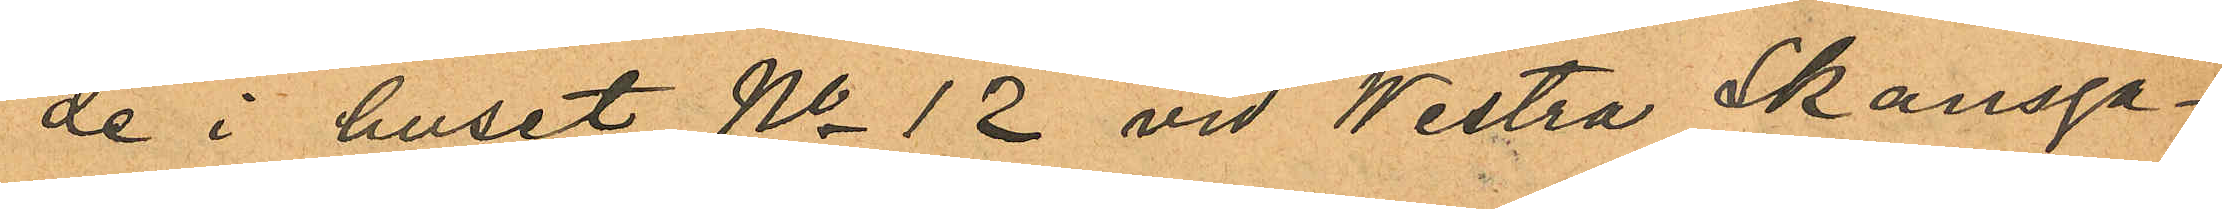de i huset No 12 vid Westra Skansga¬
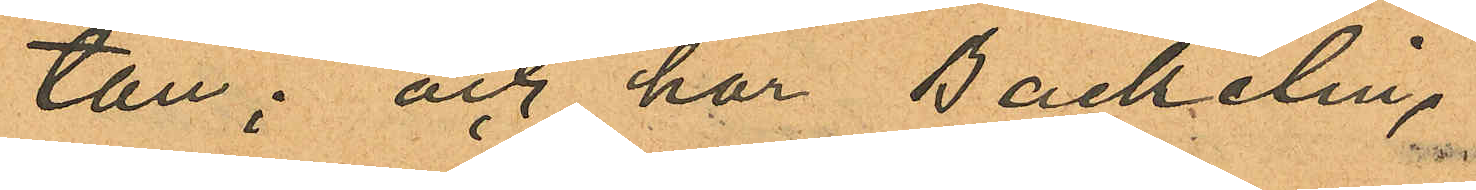tan; och har Backelin,
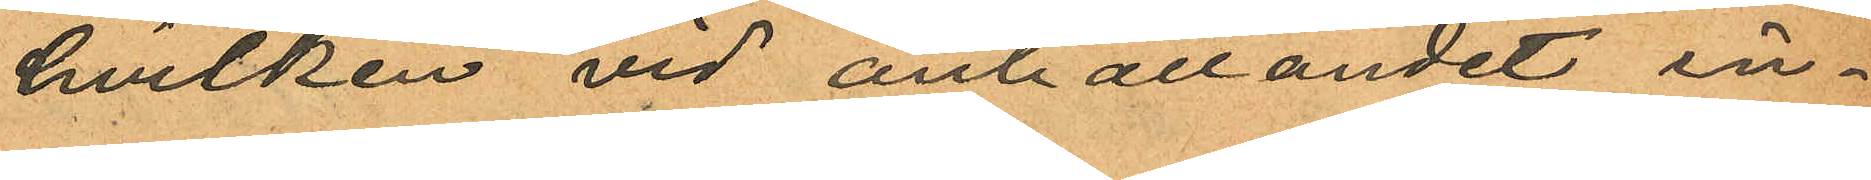hvilken vid anhållandet in¬
